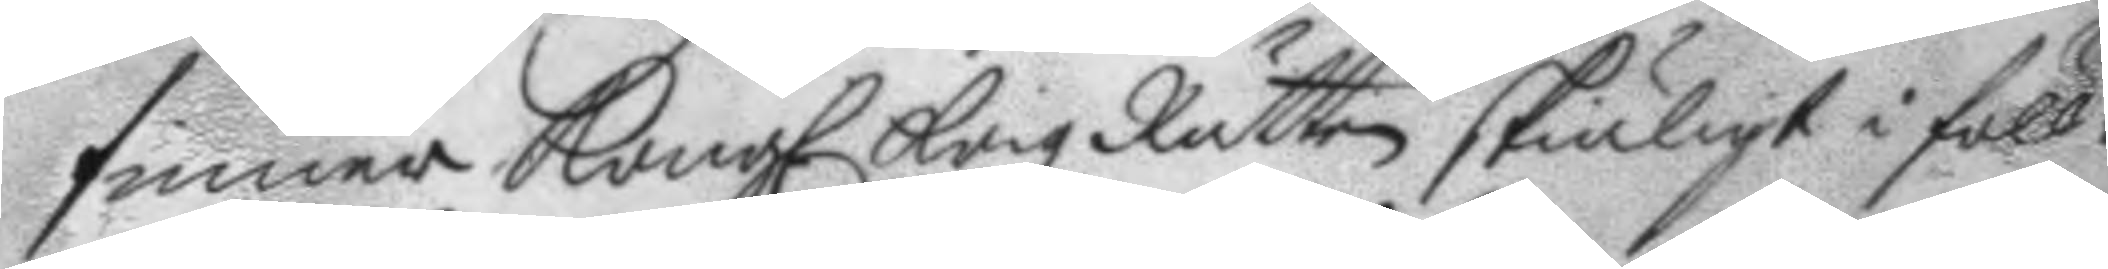finner Kongl. Krigz Rätten skiäligt i föll¬
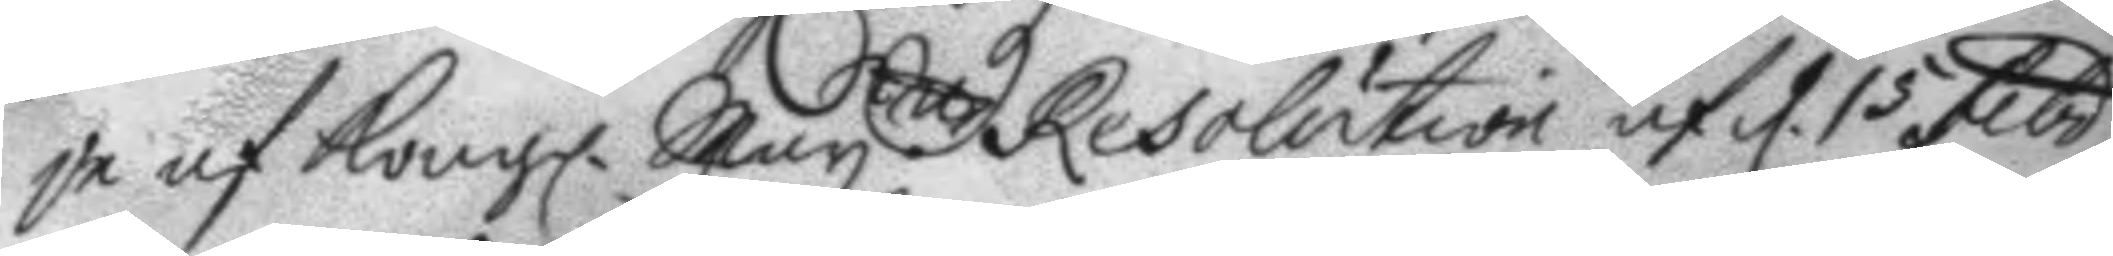je af Kongl. May.tt Resolution af d. 15 Febr.
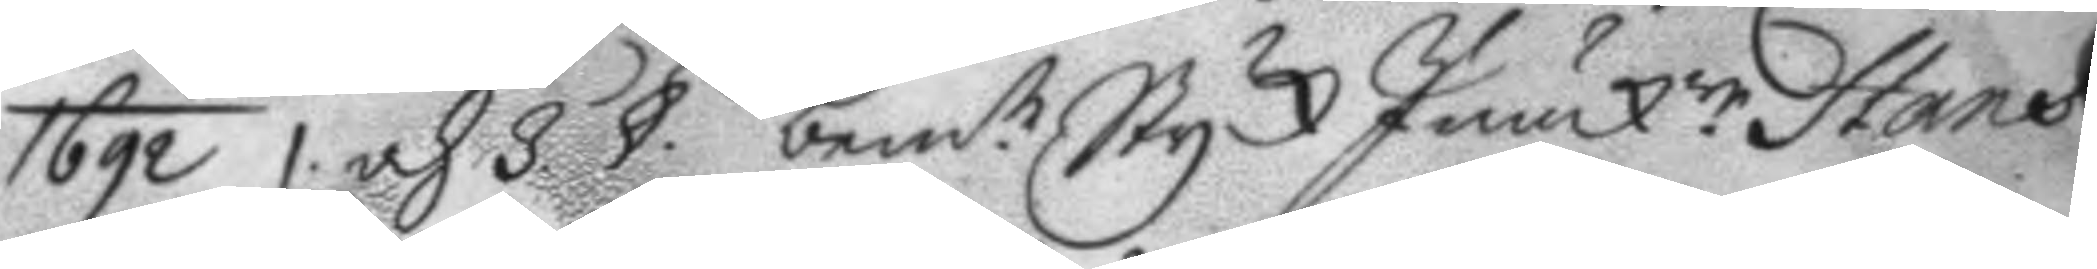1692 1 och 3 § bem.te StyckJunck.re Hans
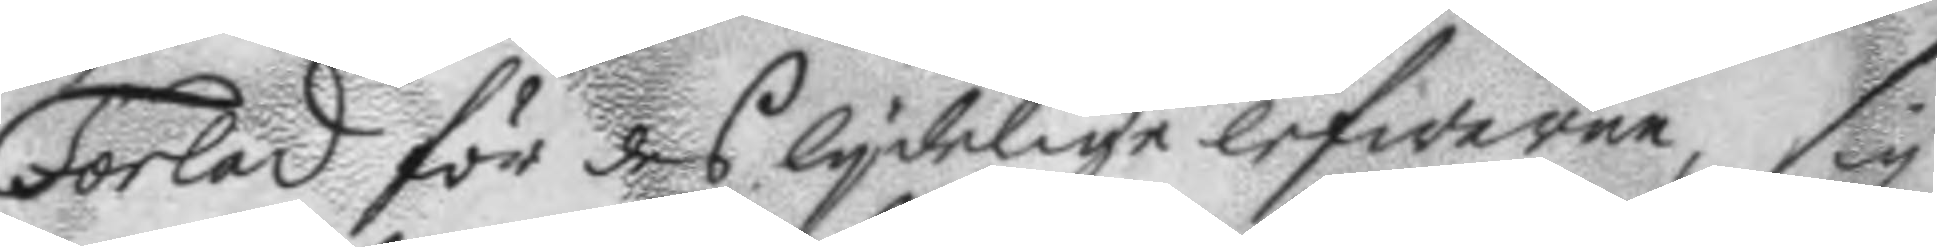Forled för des lydelige lefwerne, sig
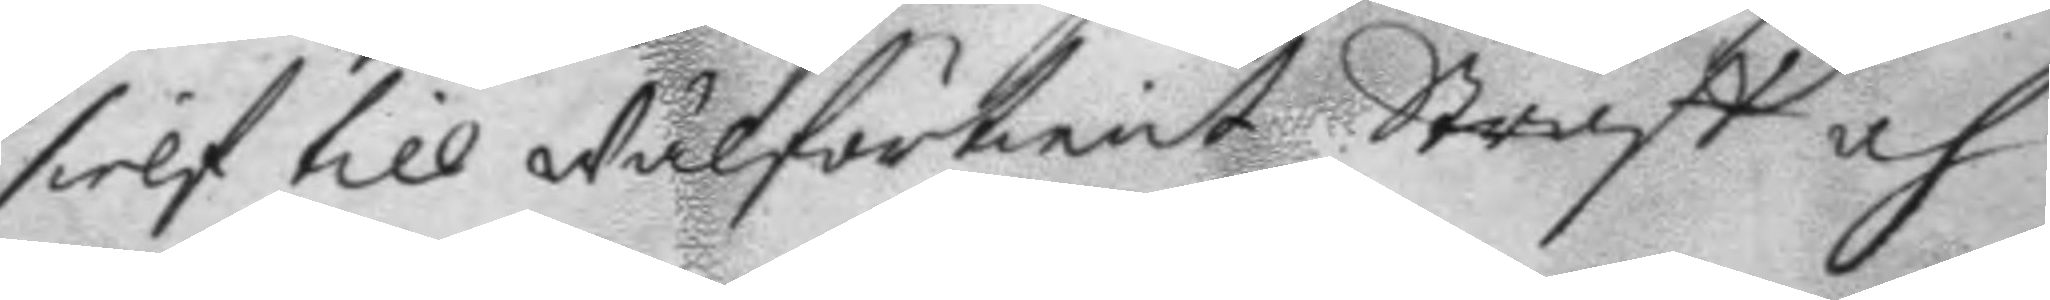sielf till Wälförtient Straff och
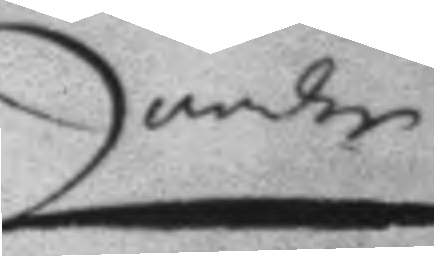andre
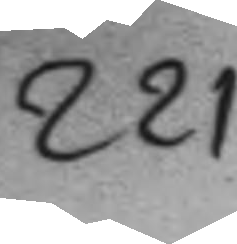221.
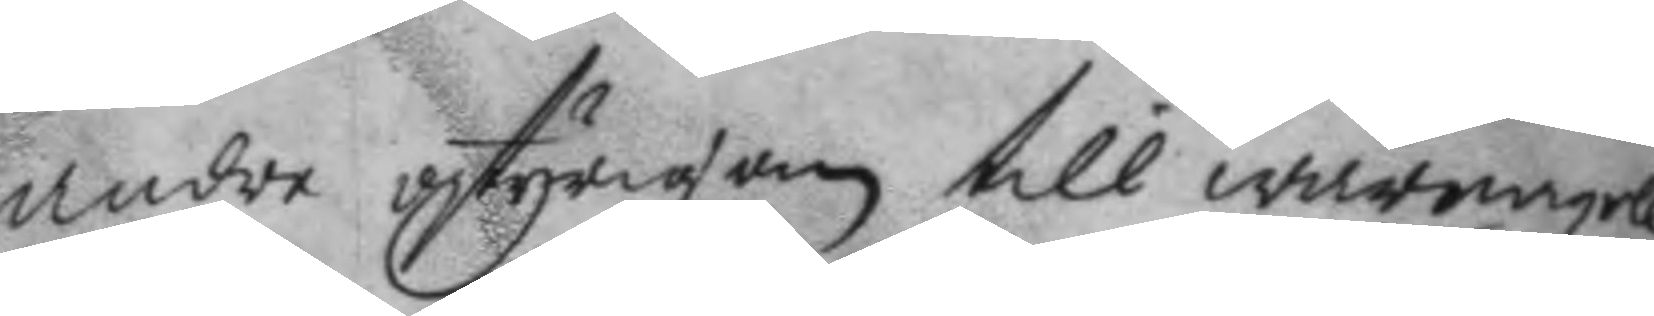andre ostyrigom till warnagell
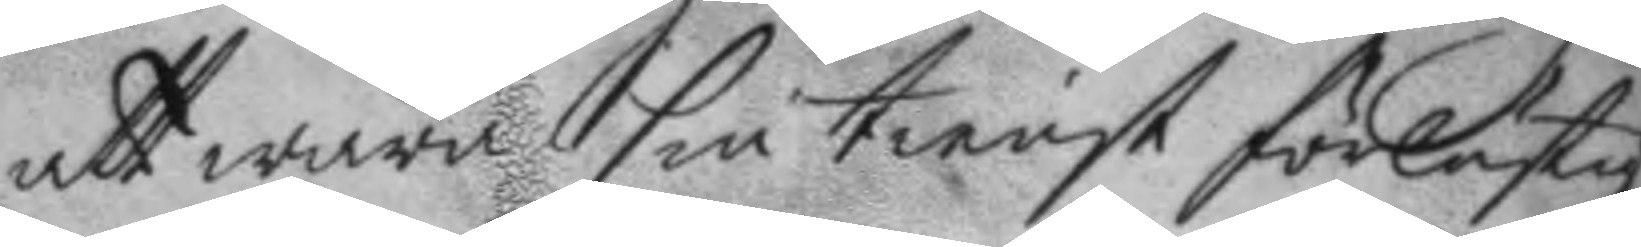att wara sin tienst förlustig
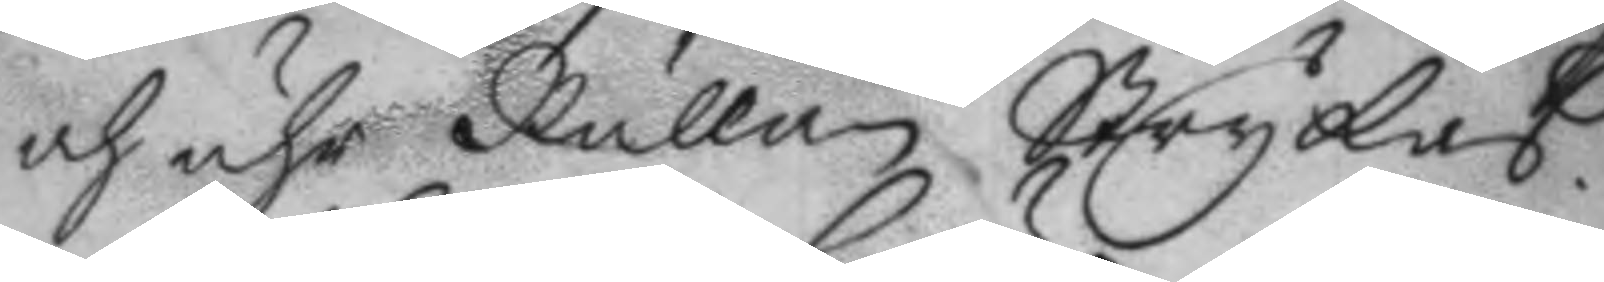och uhr Rullan Strykas.
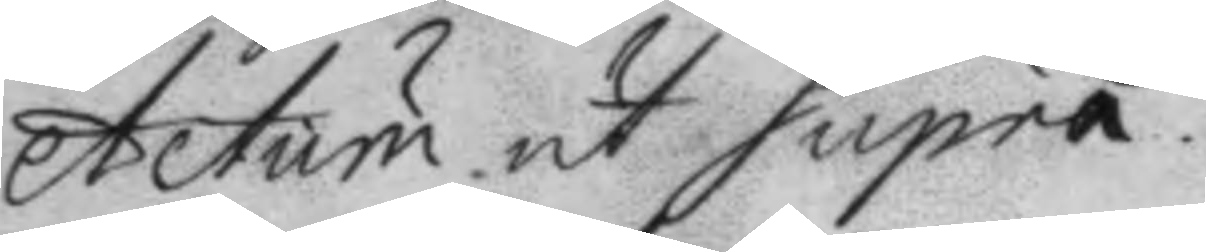Actum ut Supra.
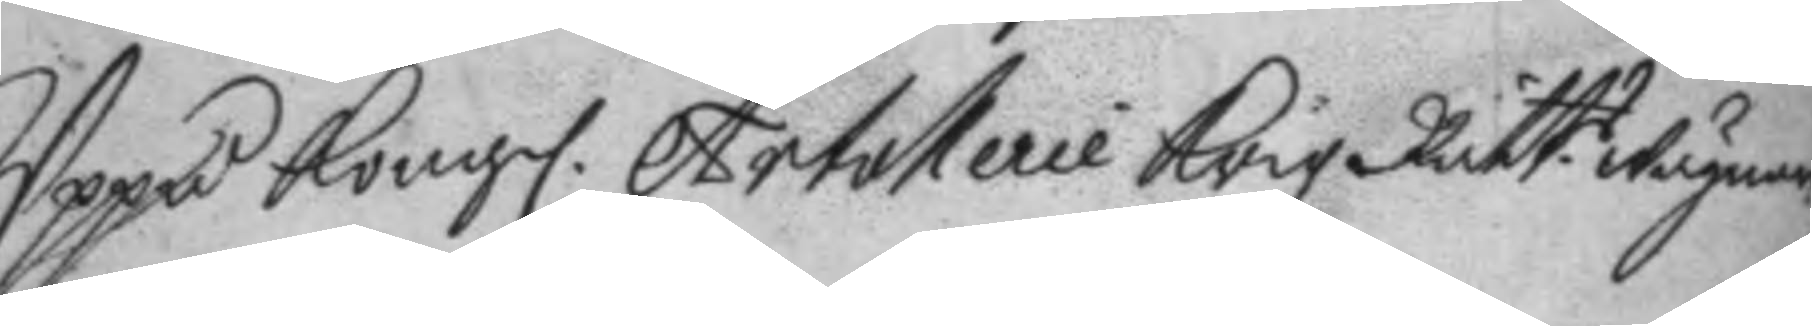Uppå Kongl. Artollerie Krigz Rätt.s wägnar
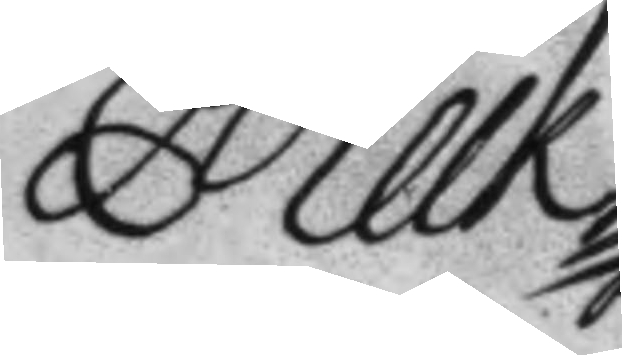Melk
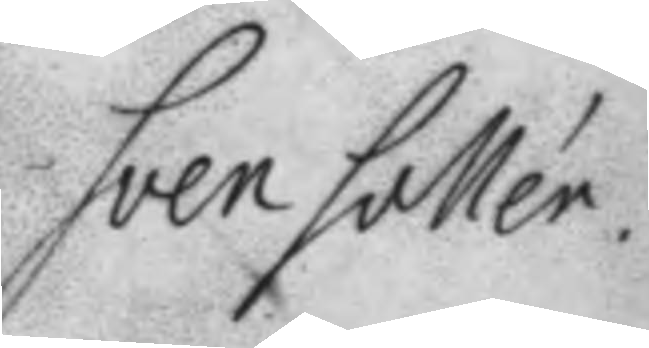Sven Sallér.
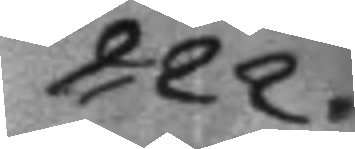222.
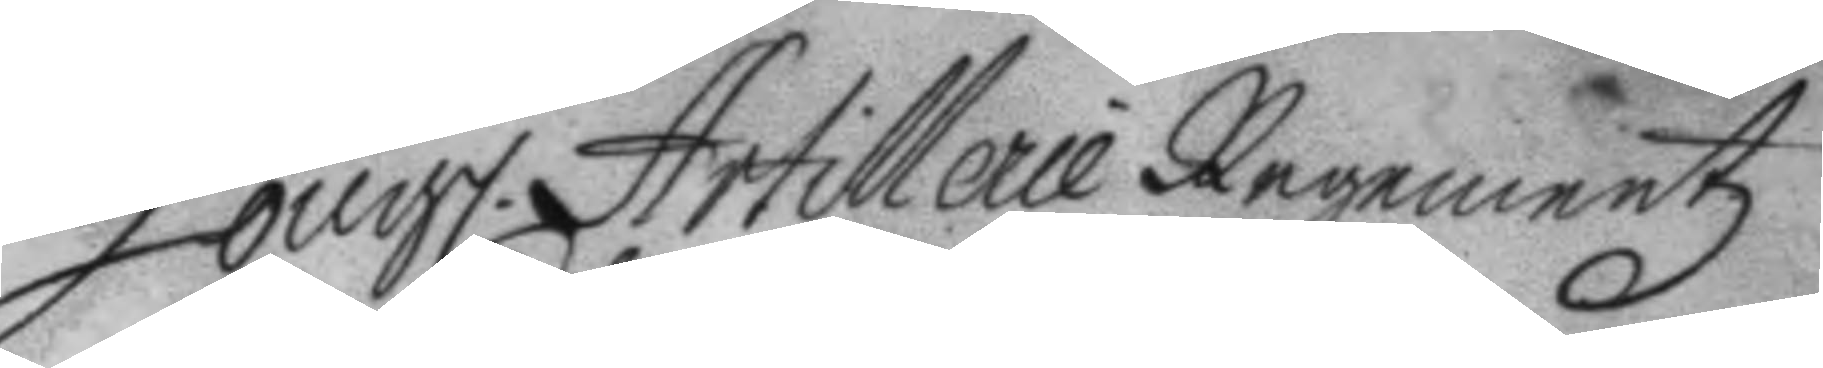Kongl. Artollerie Regementz
